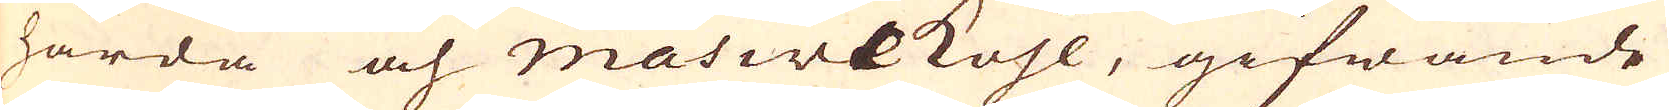hårda och Masive kohl, gifwande
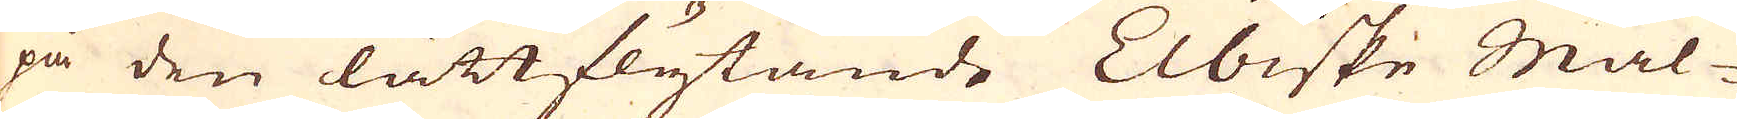på den lättflytande Elbiske Mal-
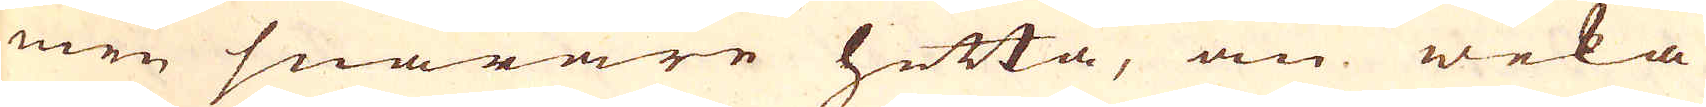men snarare hetta, än weka
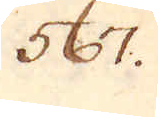567.
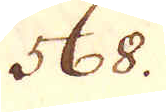568.
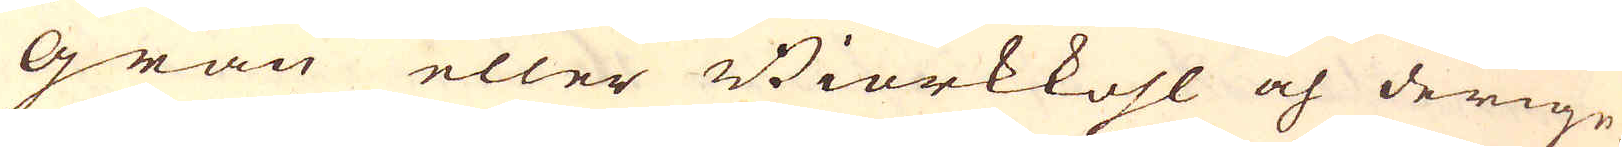gran eller Biörkkohl och derige-
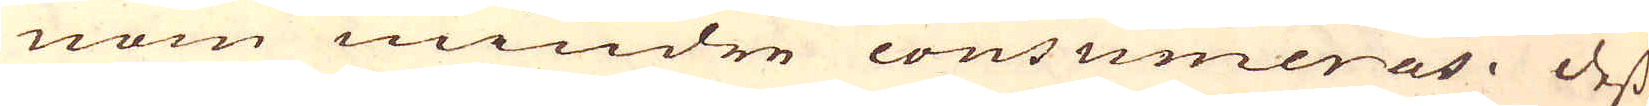nom mindre consumeras. Dess
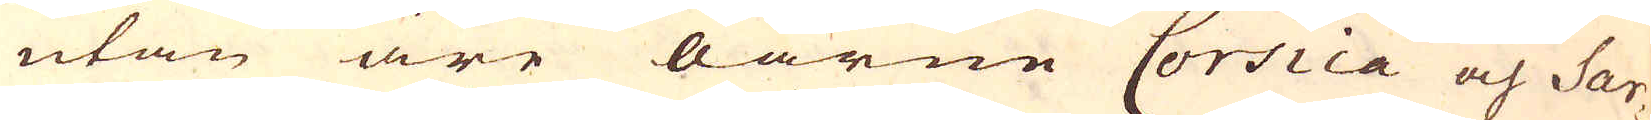utan äre öarne Corsica och Sar-
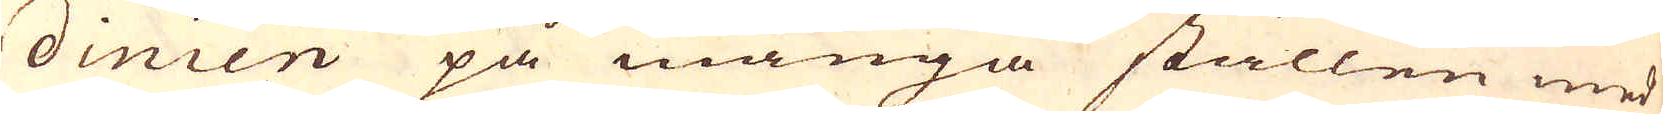dinien på många ställen med
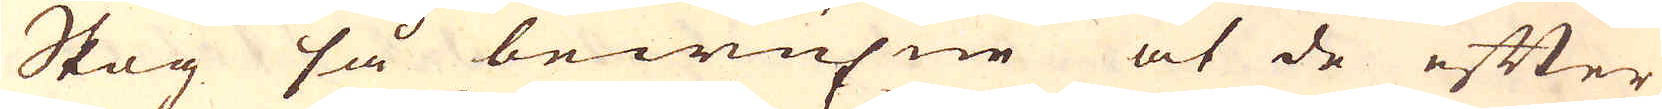Skog så bewuxne at de efter
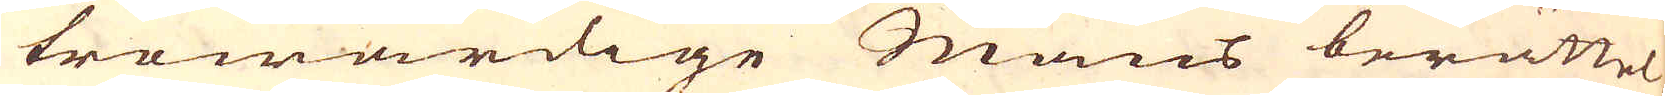trowärdige mäns berättel-
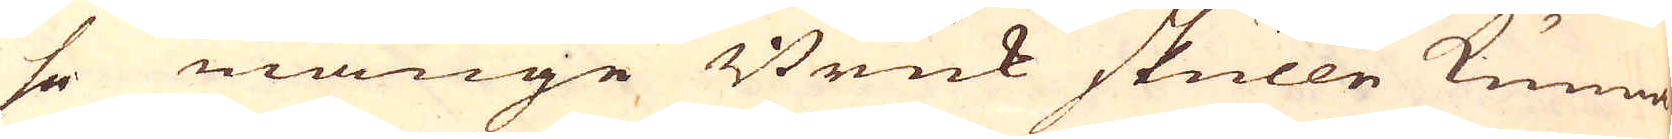se månge Bruk skulle kunna
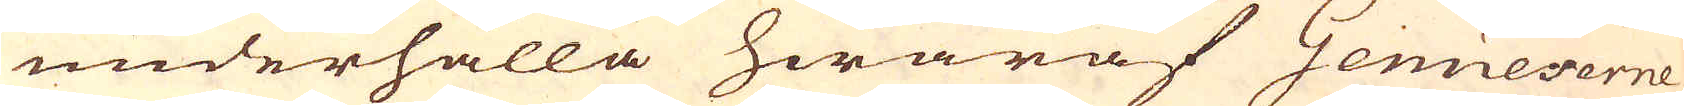underhålla hwaraf Genueserne
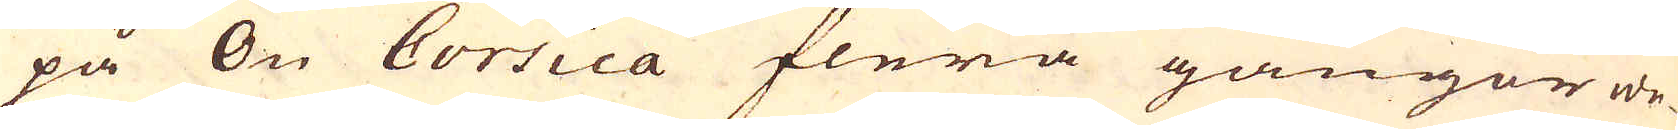på Ön Corsica flera gångor we-
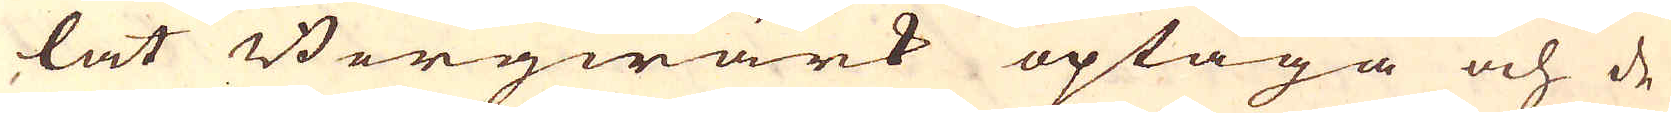lat Bergwärk optaga och de
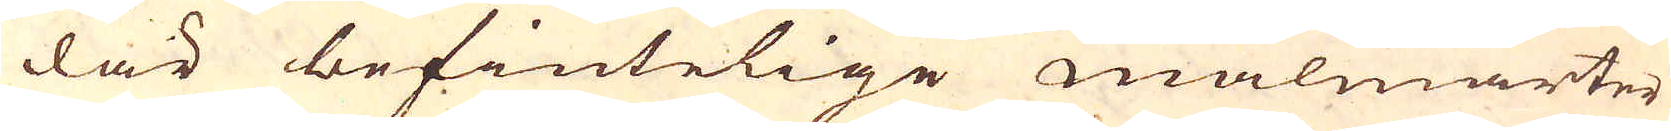där befintelige malmarter
